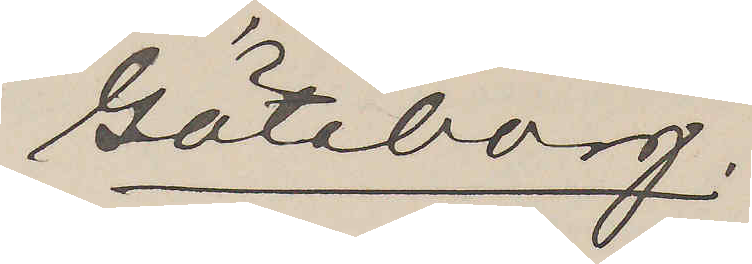Göteborg.
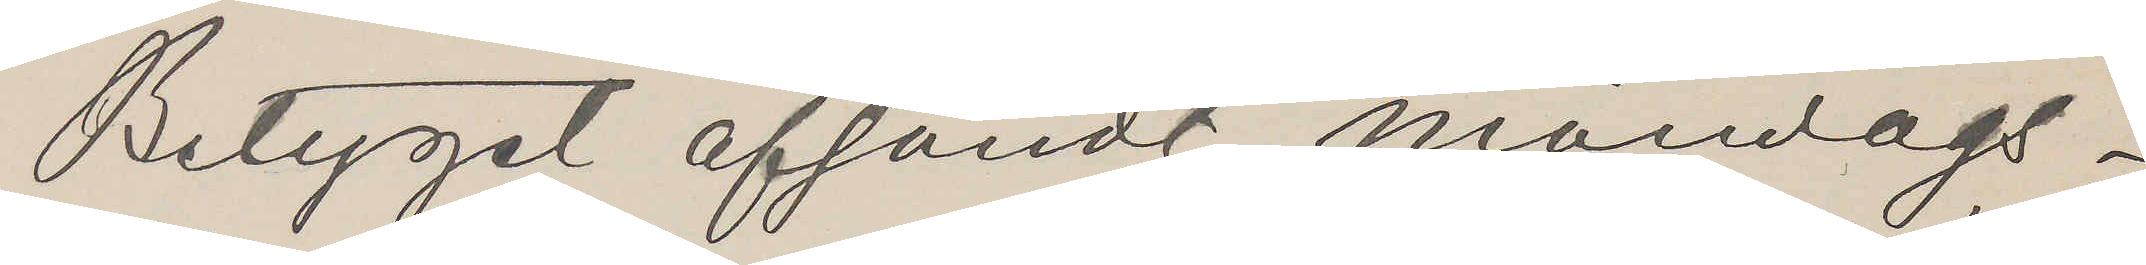Betyget afsändt måndags¬
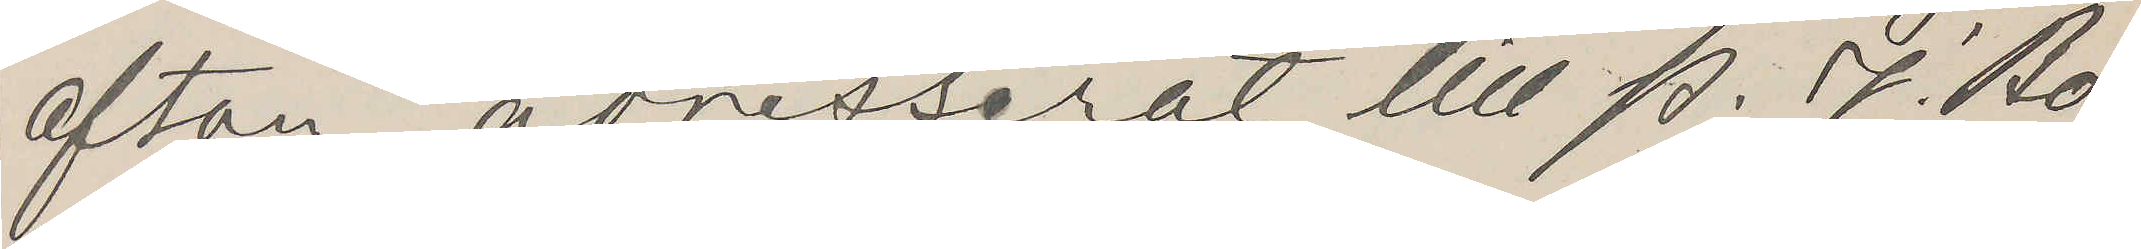afton adresserat till P. J. Bo¬
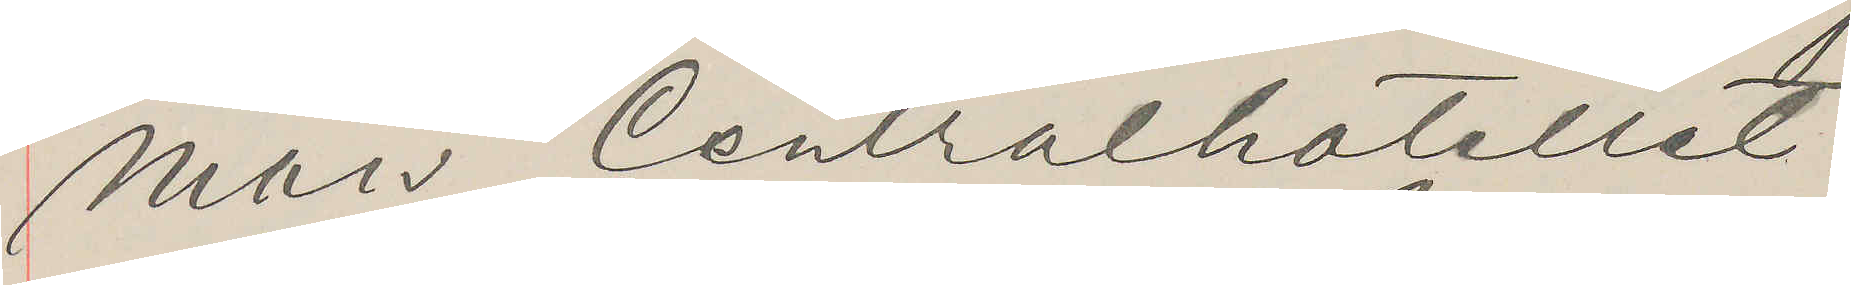man Centralhotellet.
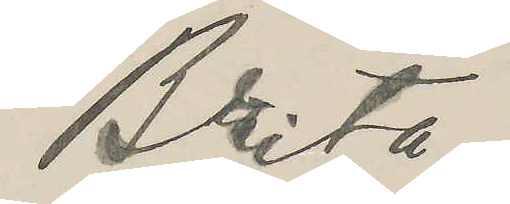Brita.
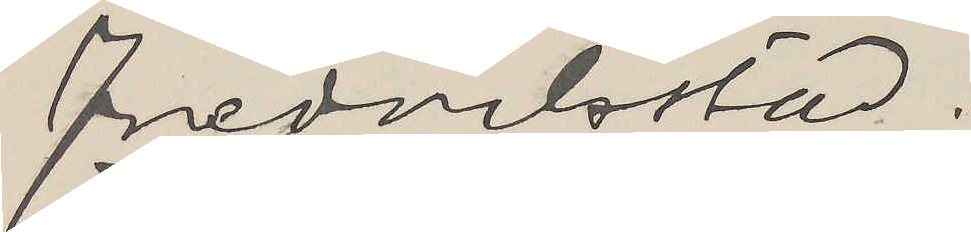Fredrikstad.
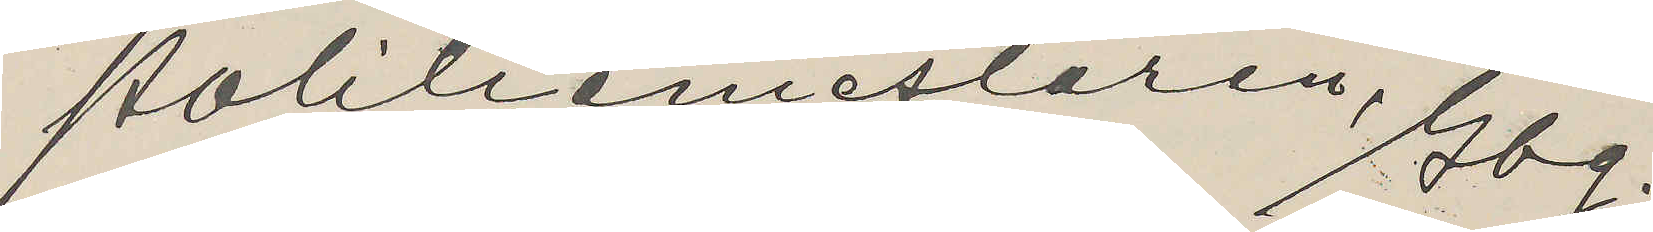Politiemestaren, Gbg.
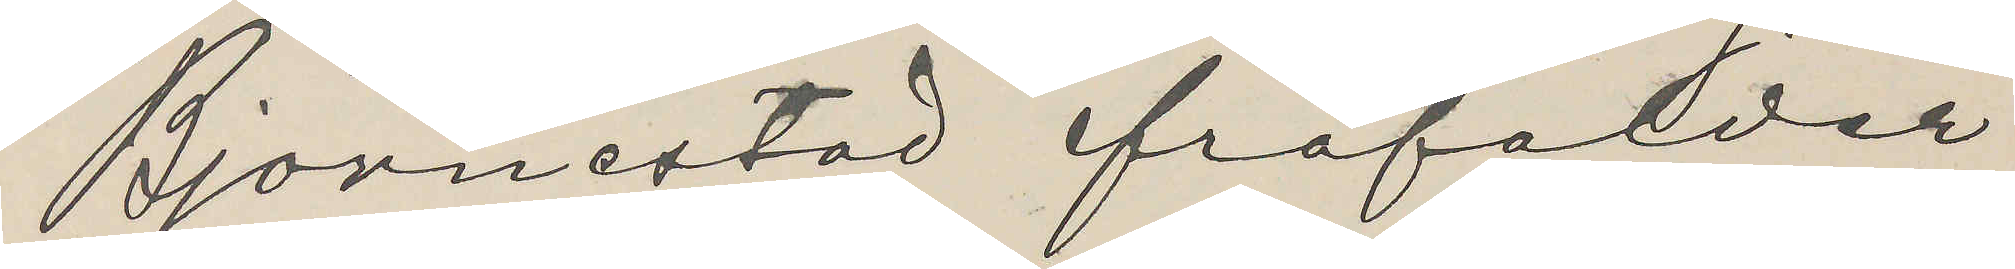Bjornestad frafalder
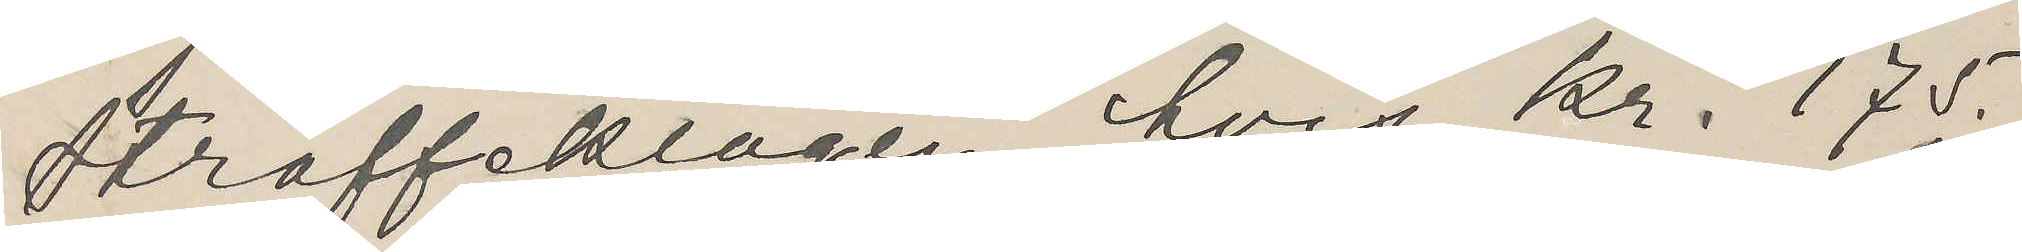straffeklagen, hvis kr. 175.
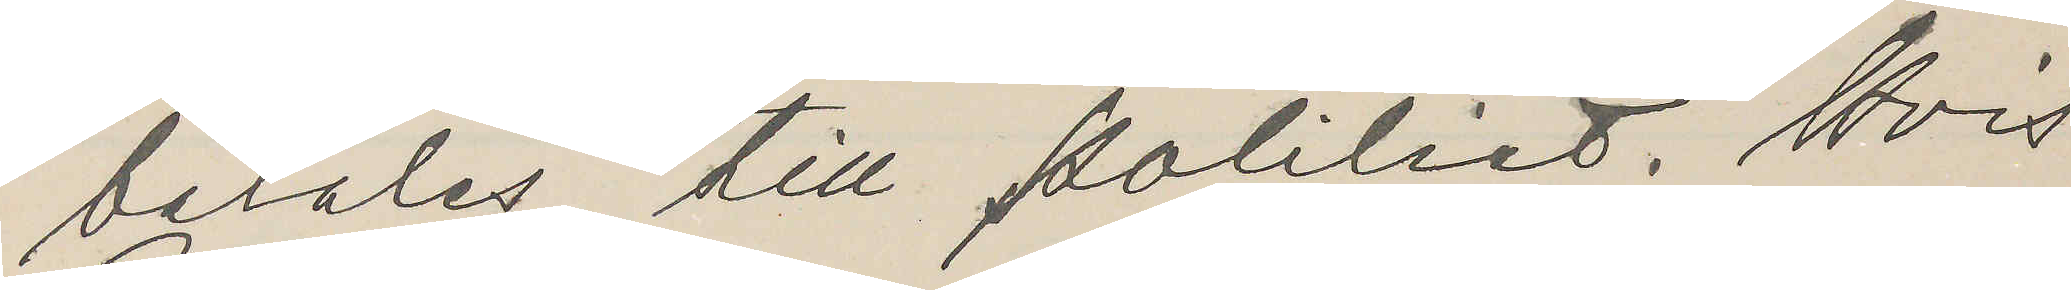betales till Politiet. Hvis
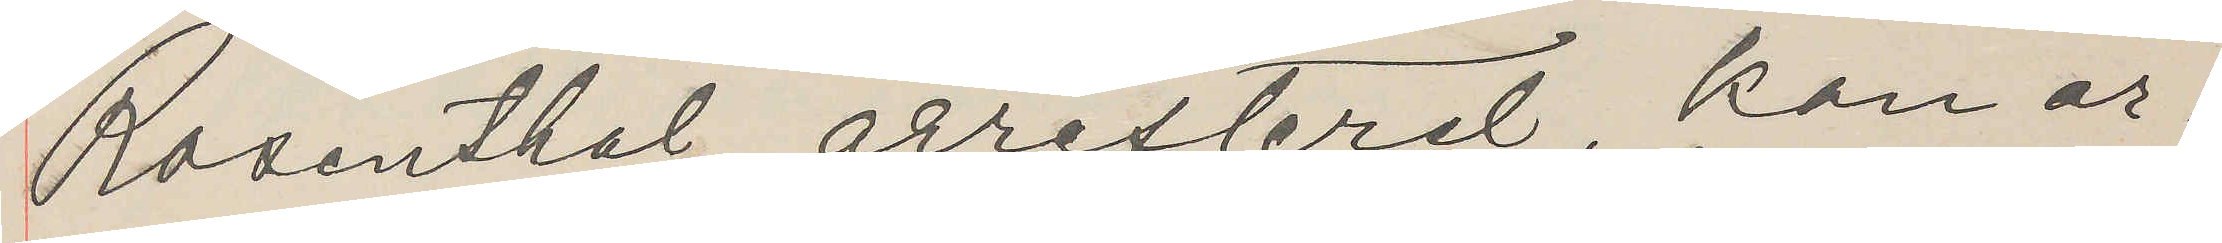Rosenthal arresterd, kan ar¬
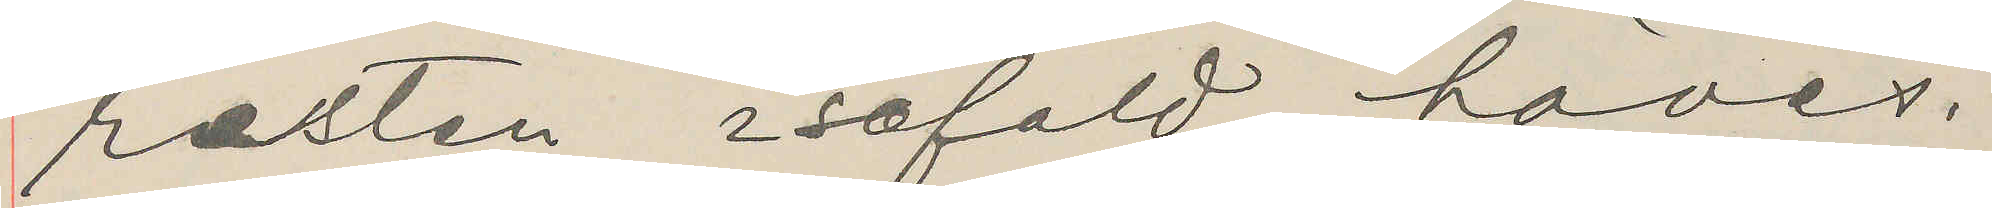rasten isåfald häves.
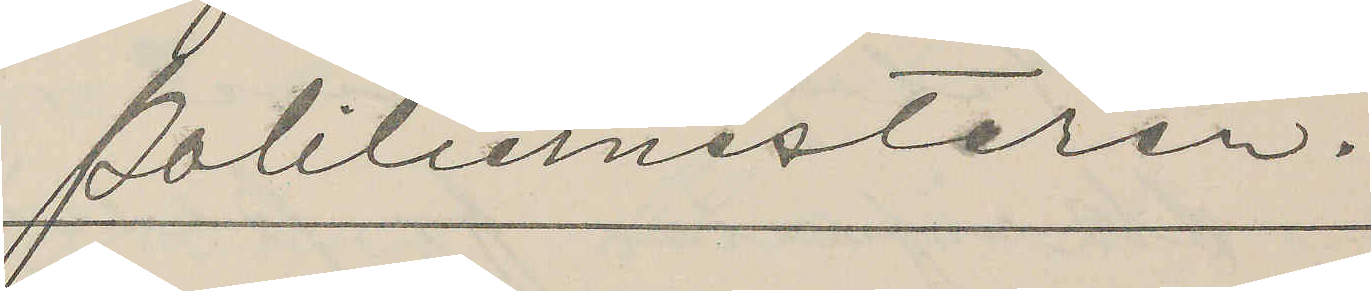politiemesteren.
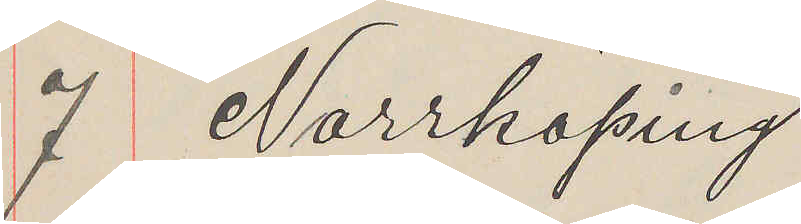7 Norrköping
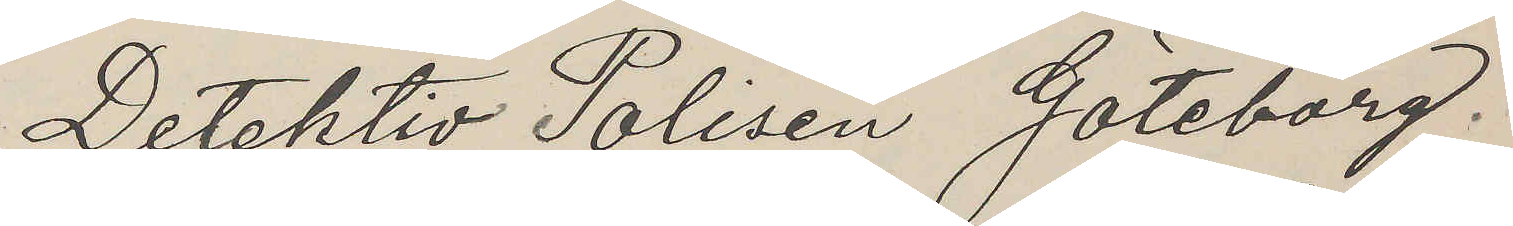Detektiv Polisen Göteborg.
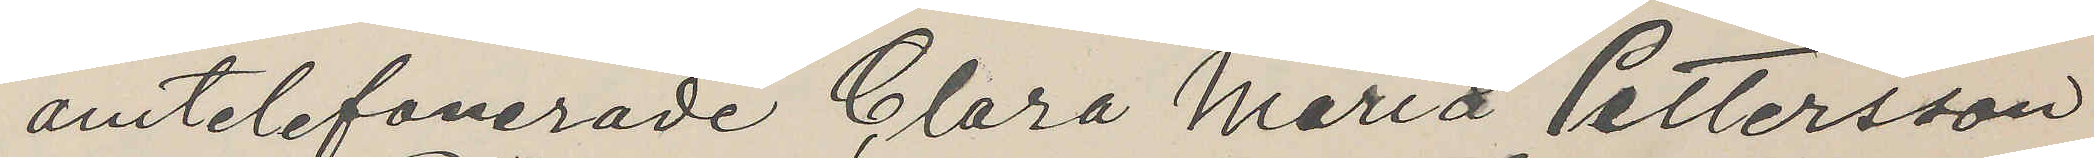omtelefonerade Clara Maria Pettersson
